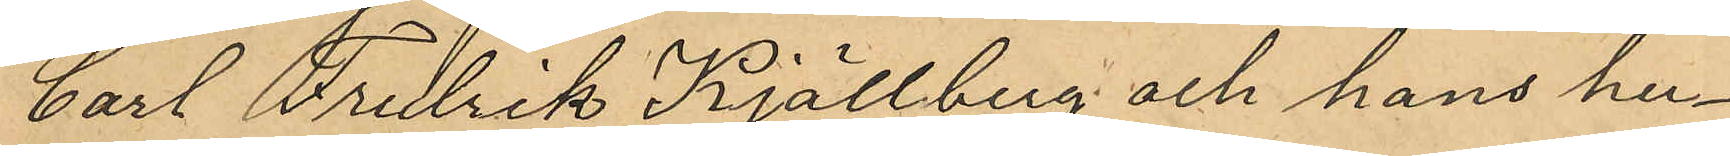Carl Fredrik Kjällberg och hans hu¬
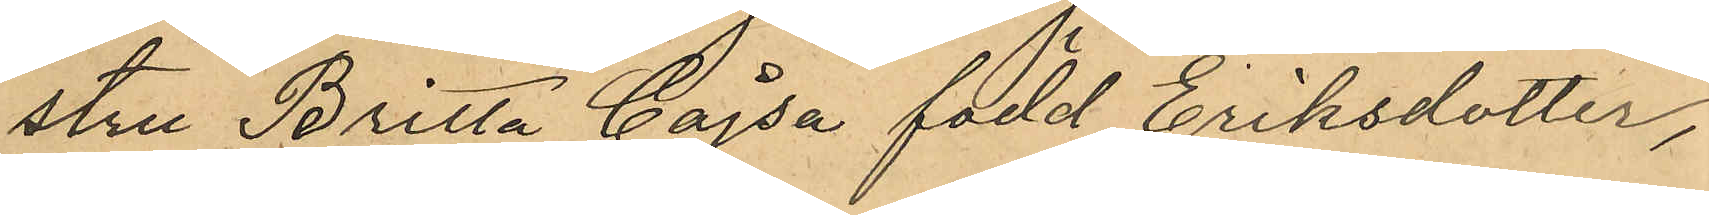stru Britta Cajsa född Eriksdotter,
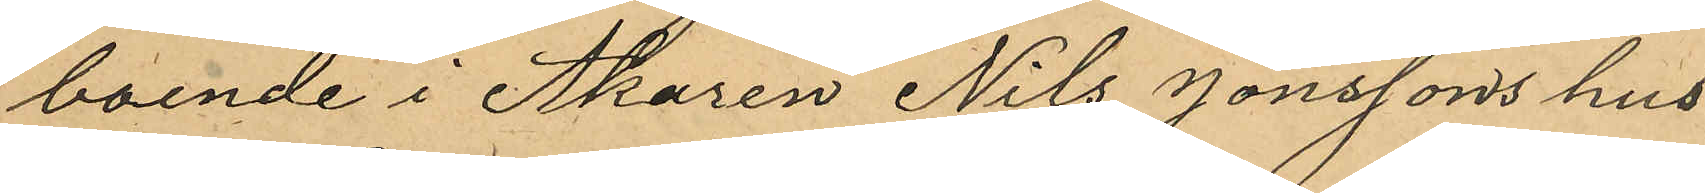boende i Åkaren Nils Jönssons hus
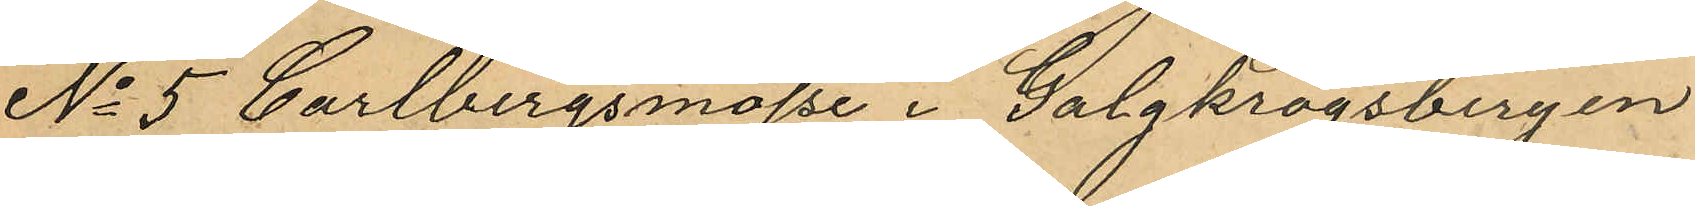No 5 Carlbergsmosse i Galgkrogsbergen
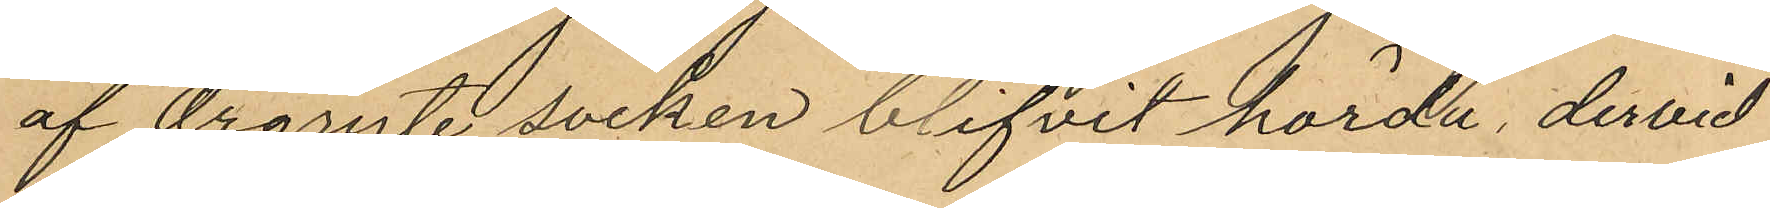af Örgryte socken blifvit hörda, dervid
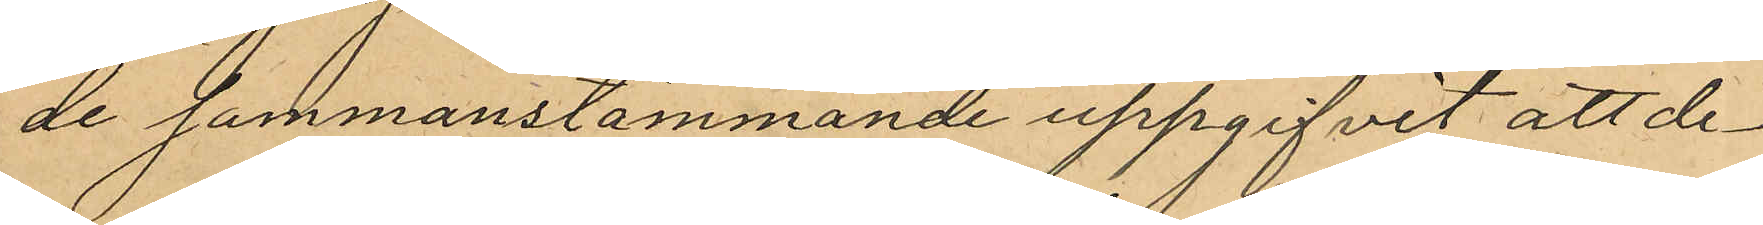de sammanstämmande uppgifvit att de¬
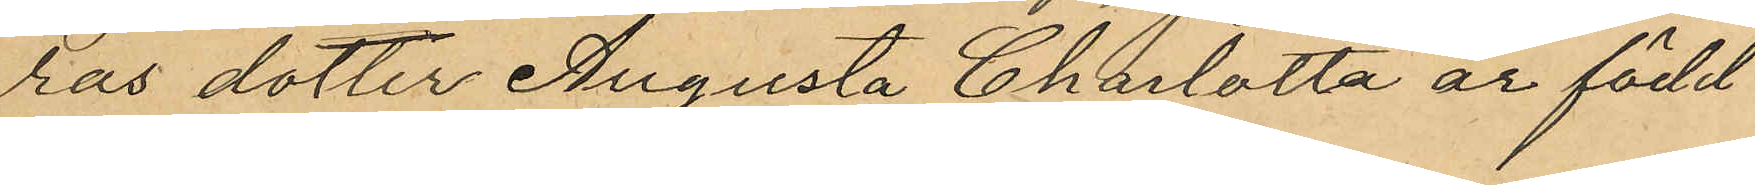ras dotter Augusta Charlotta är född
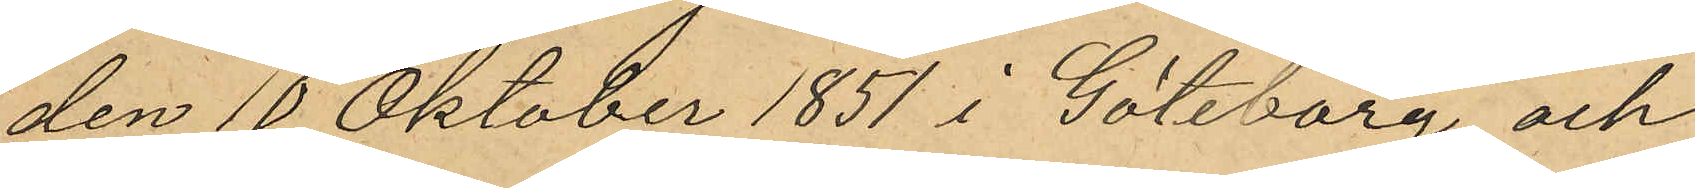den 10 Oktober 1851 i Göteborg och
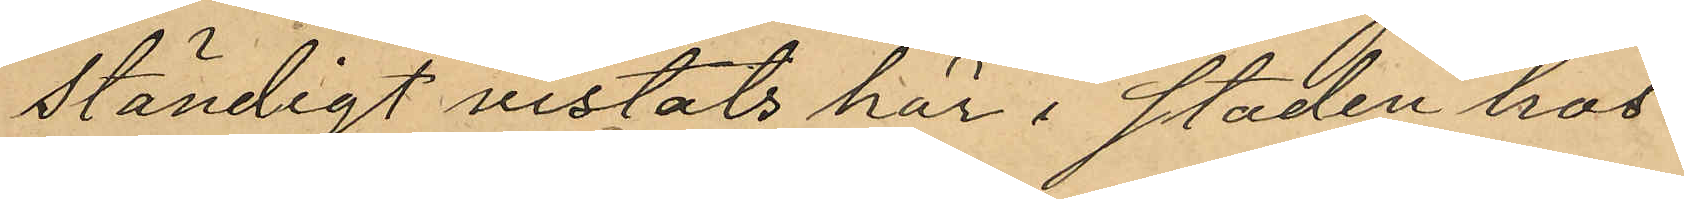ständigt vistats här i staden hos
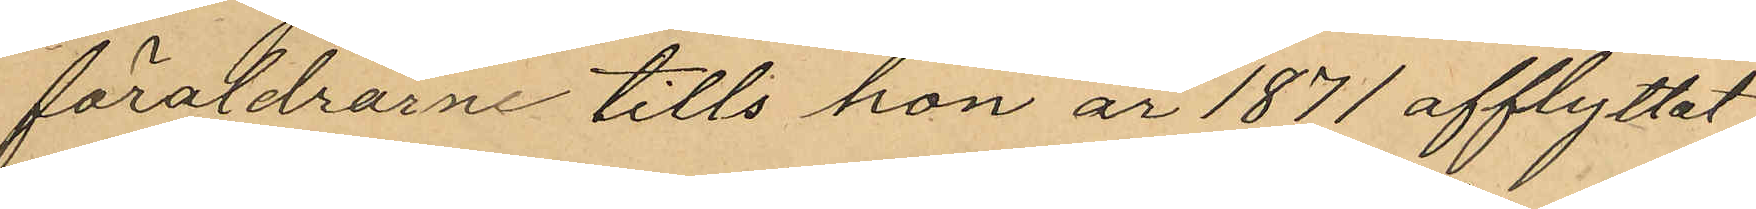föräldrarne tills hon år 1871 afflyttat
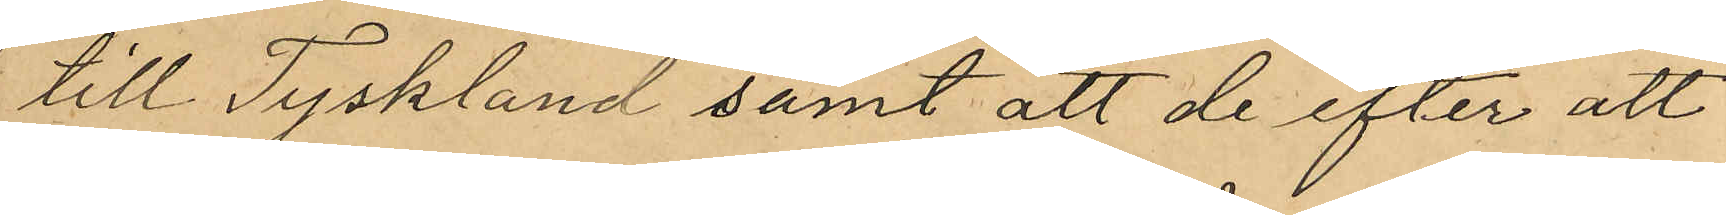till Tyskland samt att de efter att
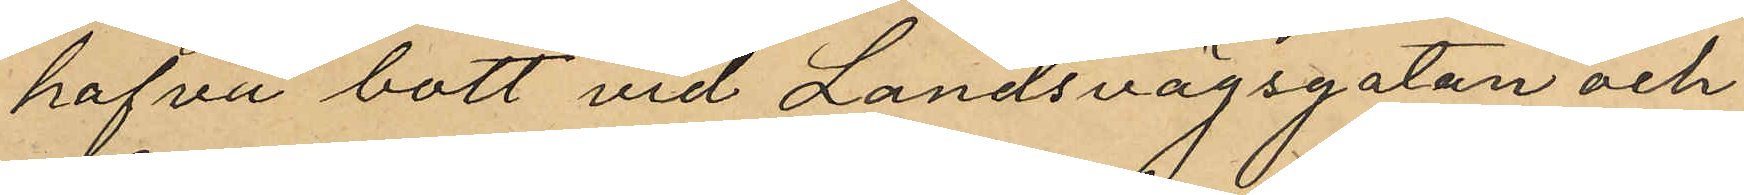hafva bott vid Landsvägsgatan och
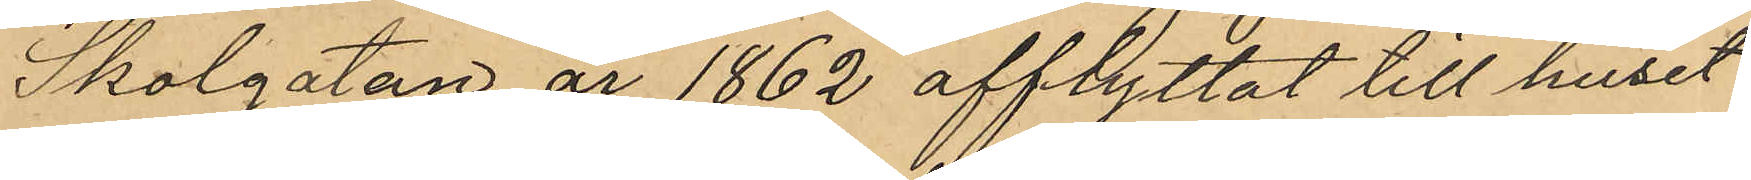Skolgatan år 1862 afflyttat till huset
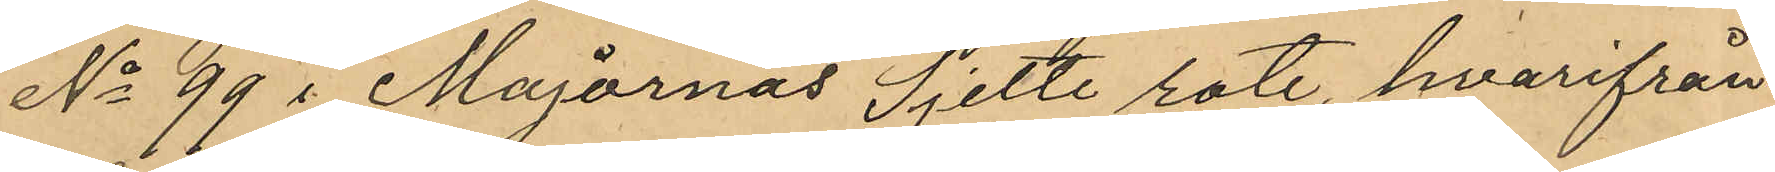No 99 i Majornas Sjette rote, hvarifrån
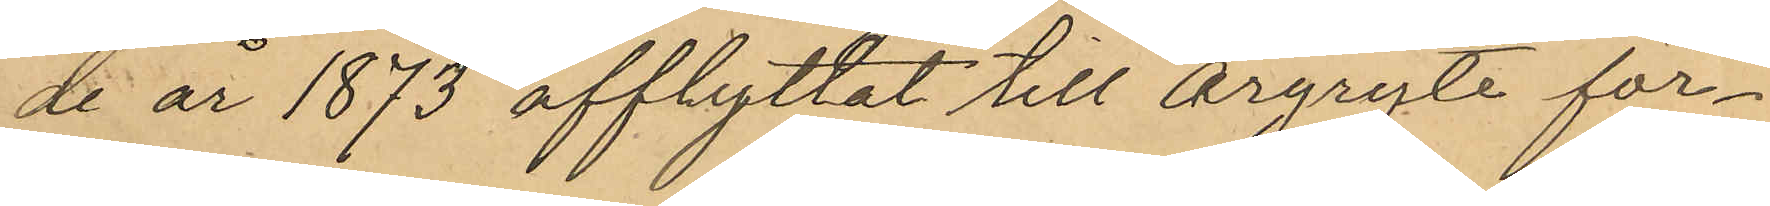de år 1873 afflyttat till Örgryte för¬
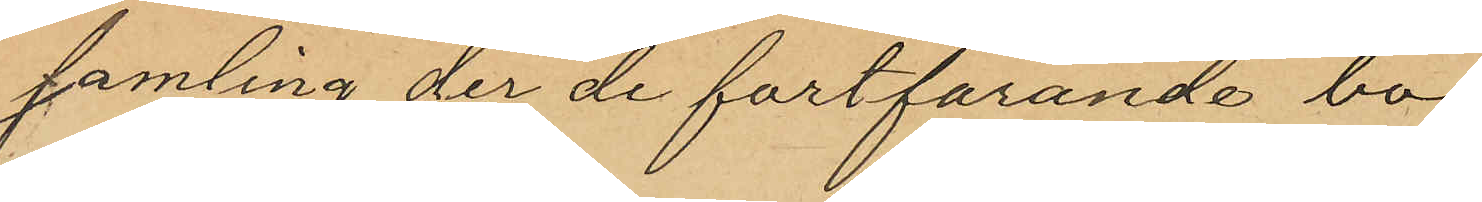samling der de fortfarande bo.
